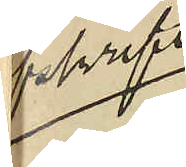Afskrift
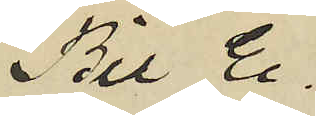Bil E.
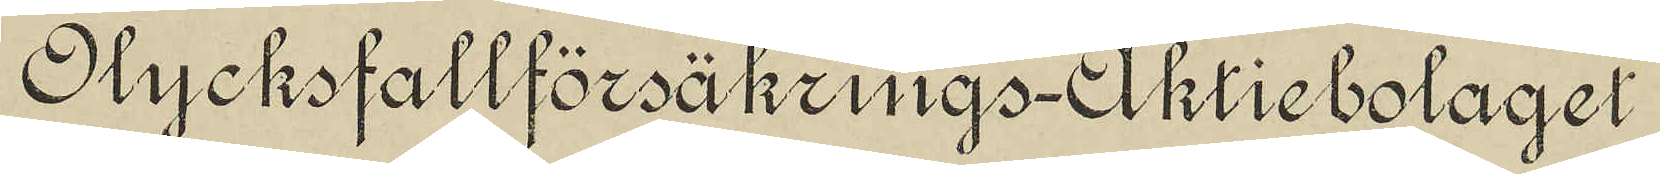Olycksfallförsäkrings-Aktiebolaget
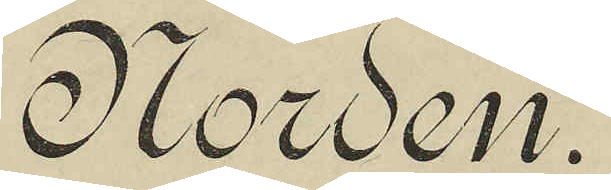Norden.
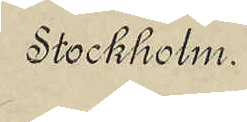Stockholm.
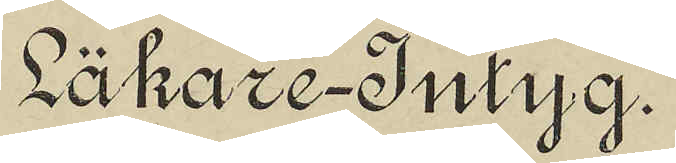Läkare-Intyg.
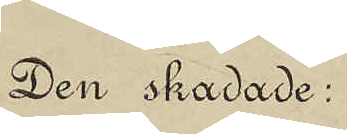Den skadade:
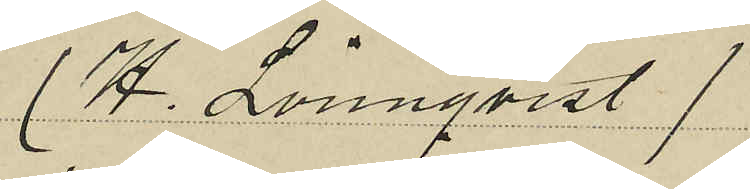(H. Lönnqvist)
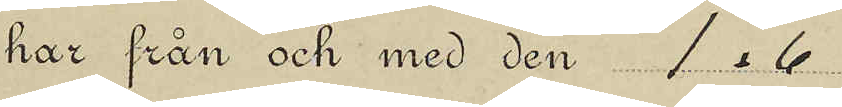har från och med den 1.6
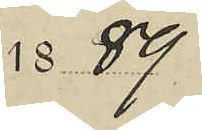1889
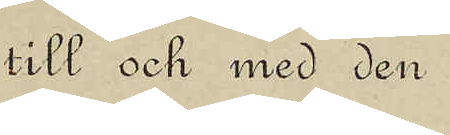till och med den
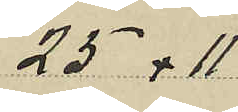25.11
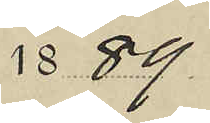1889
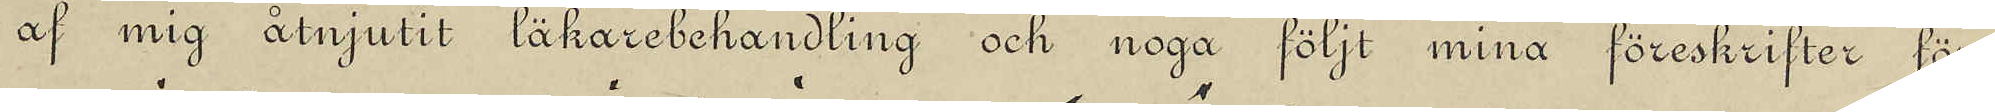af mig åtnjutit läkarebehandling och noga följt mina föreskrifter för
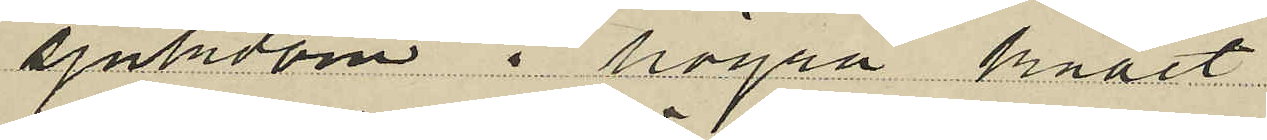sjukdom i högra knäet
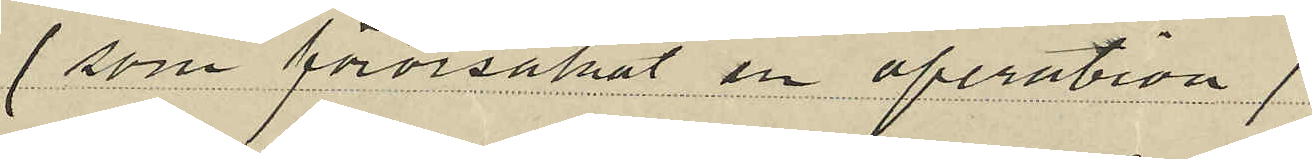(som förorsakat en operation)
